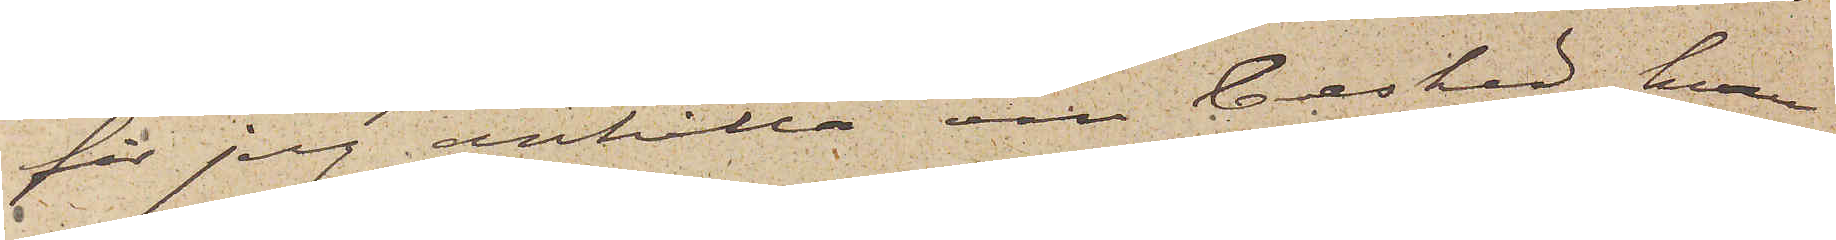får jag anhålla sin besked, hvar¬
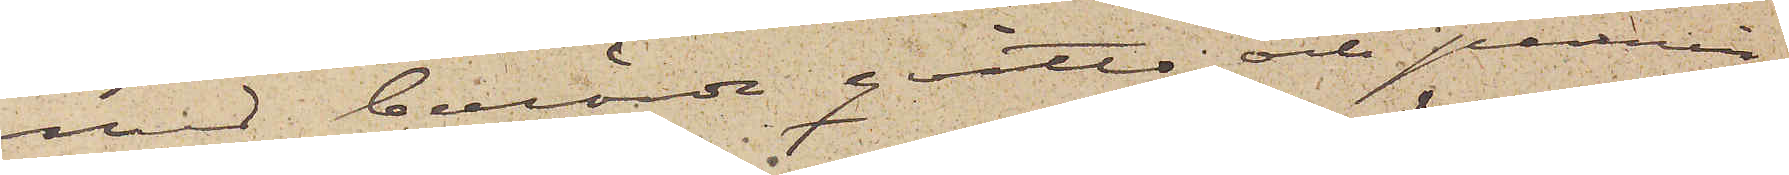med berörde qvitto och pennin¬
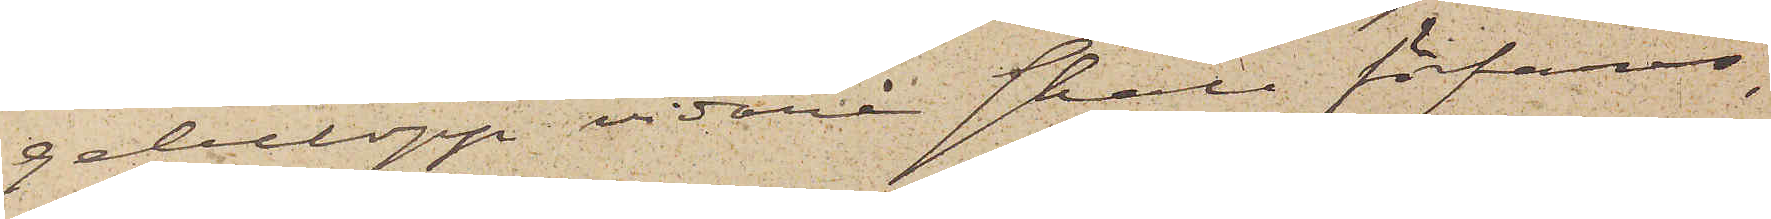gebelopp vidare skall förfaras,
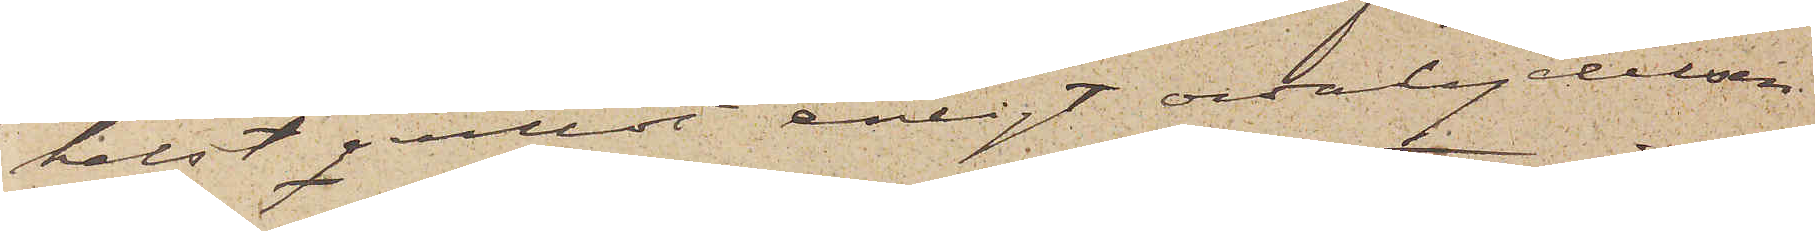helst qvittot enligt ordalydelsen
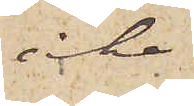icke
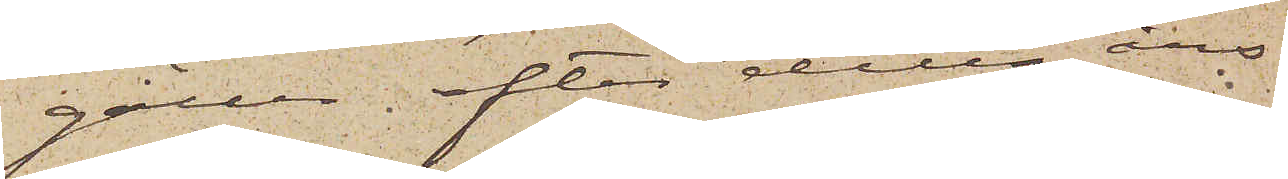gäller efter detta års
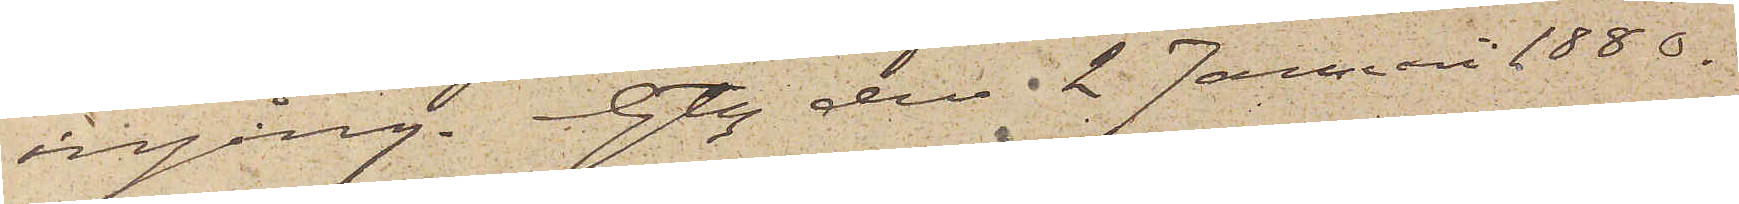ingång. Gbg den 2 Januari 1880.
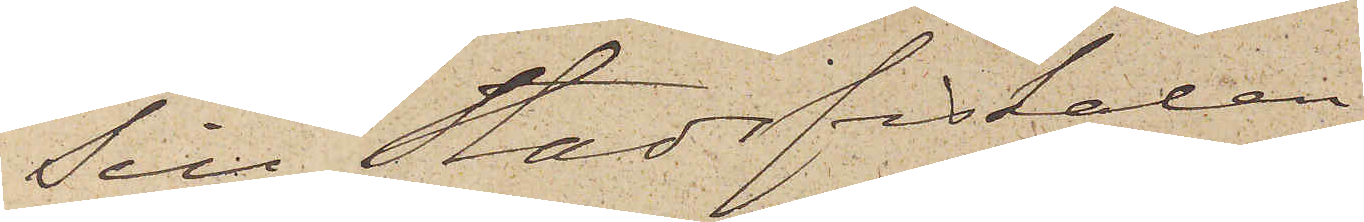Till Stadsfiskalen i
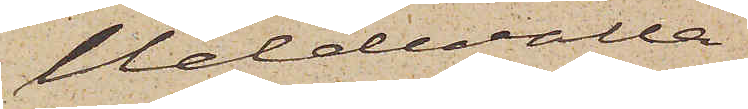Uddevalla
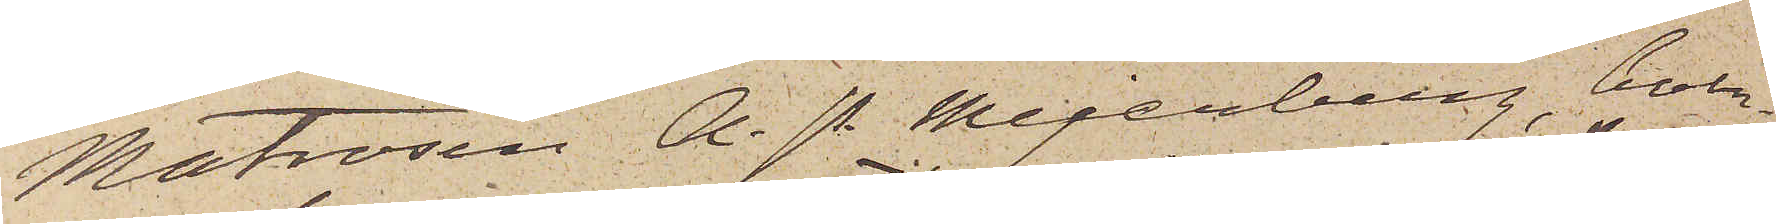Matrosen A. P. Mejerberg, boen¬
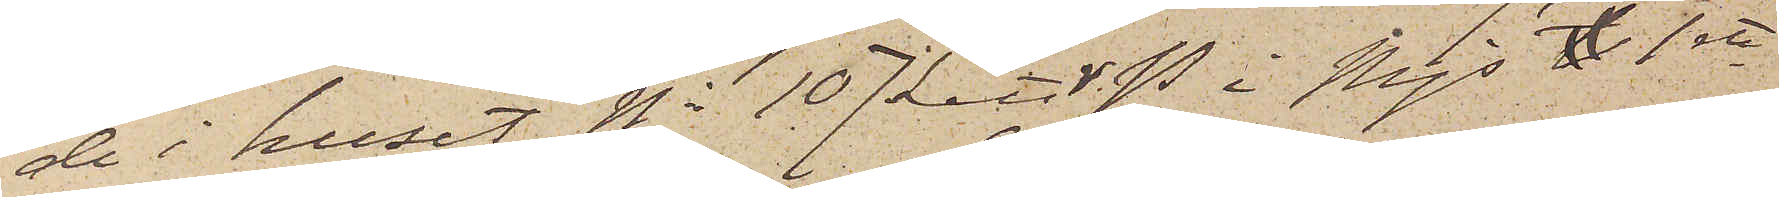de i huset No 107 Litt. V.P. i Mjs f 1sta
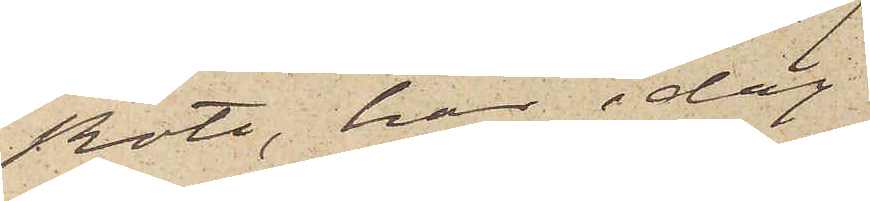Rote, har i dag
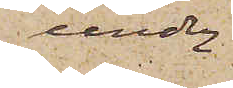under
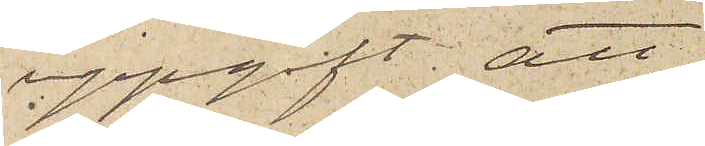uppgift att
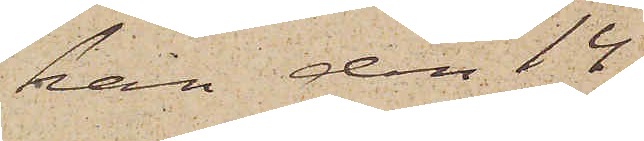han den 14
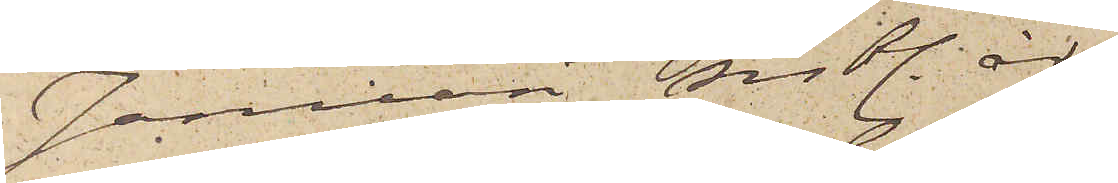Januari sistl. år,
